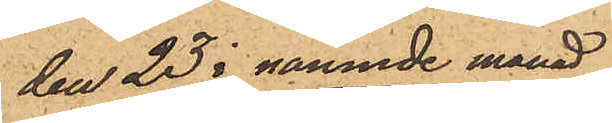den 23 i nämnde månad
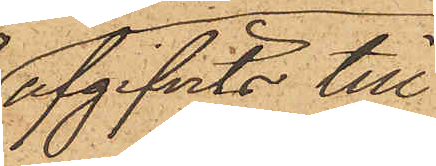afgifvits till
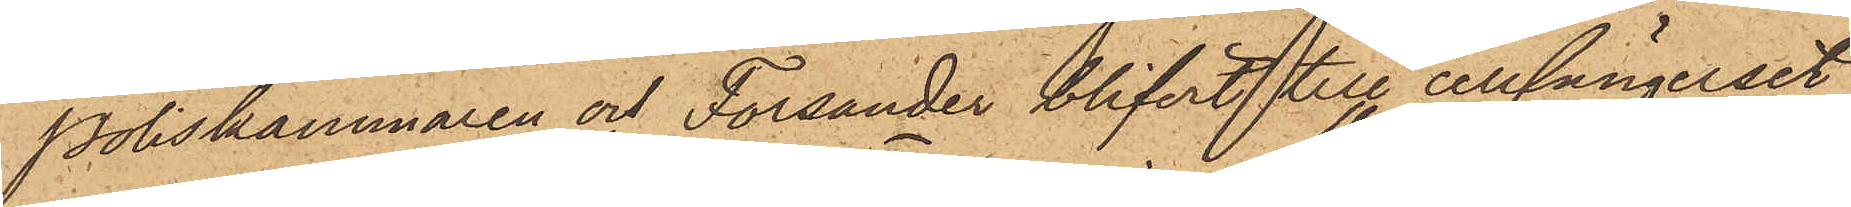Poliskammaren at Forsander blifvit till cellfängelset
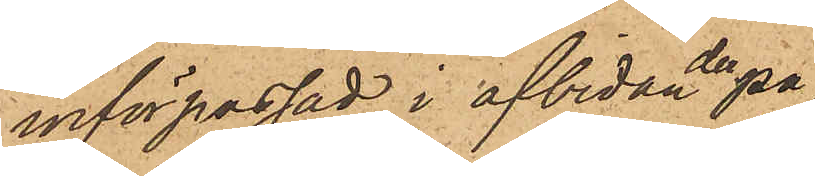införpassad i afbidan derpå
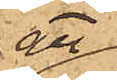att
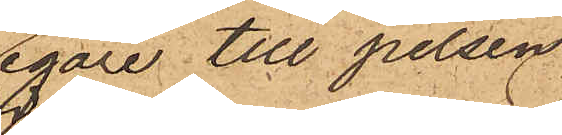egare till pelsen
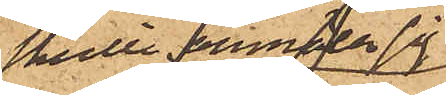skulle anmäla sig
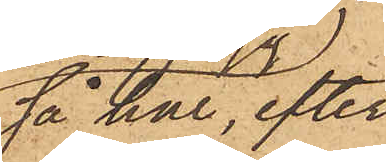så har, efter
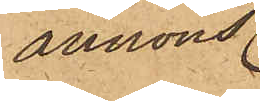annons
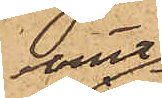varit
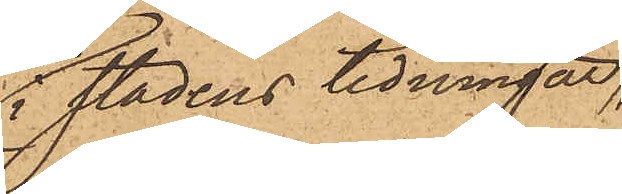i stadens tidningar,
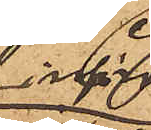infört,
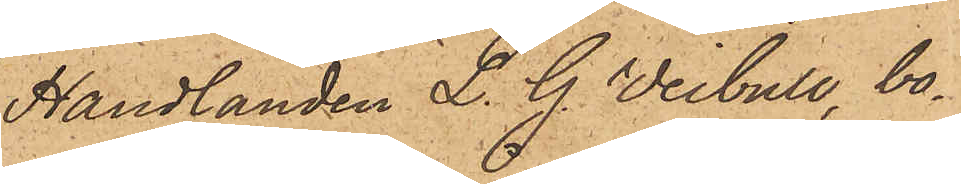Handlanden L. G. Veibull, bo¬
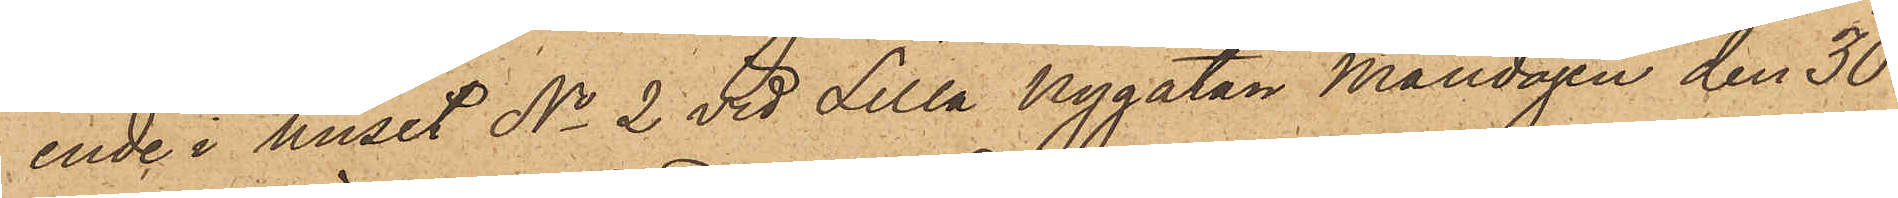ende i huset No 2 vid Lilla Nygatan Måndagen den 30
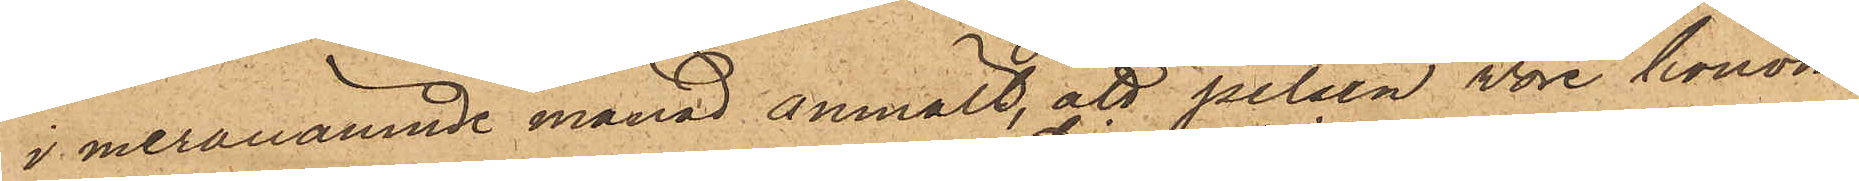i meranämnde månad anmält, att pelsen vore honom
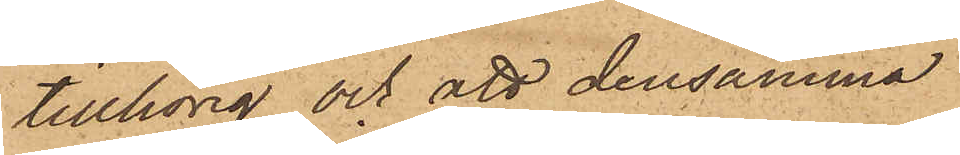tillhörig och att densamma
